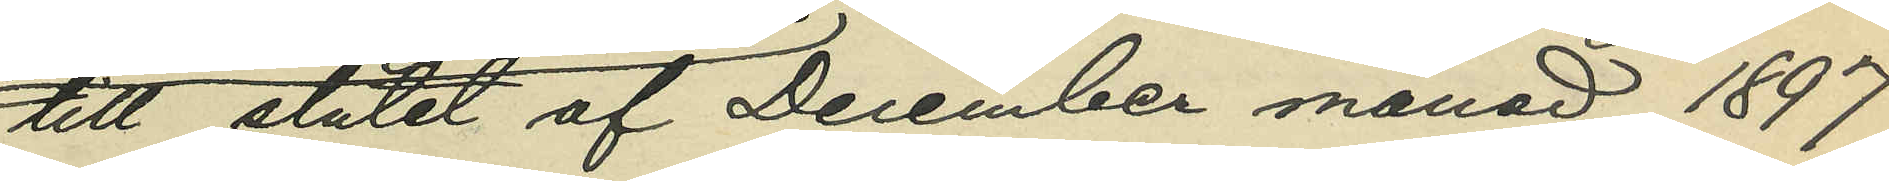till slutet af December månad 1897
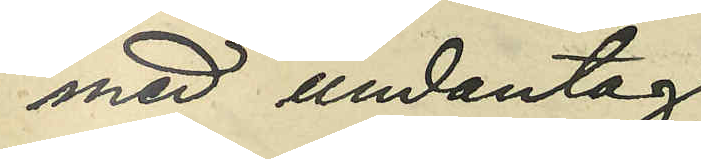med undantag
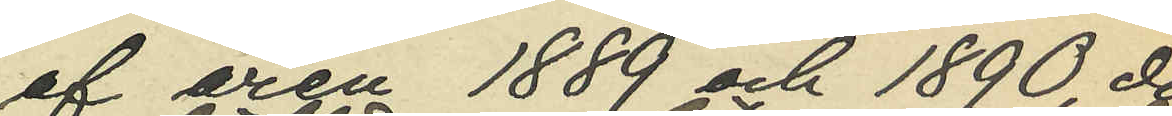af åren 1889 och 1890, då
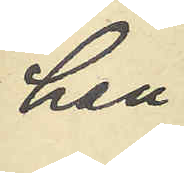han
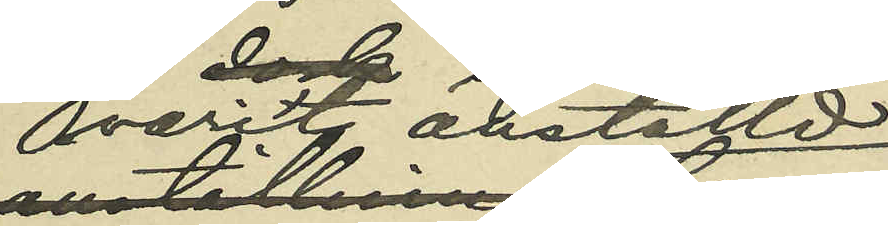varit anställd
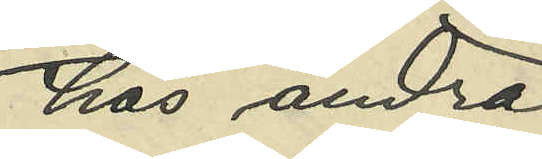hos andra
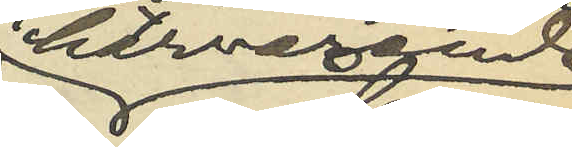härvarande
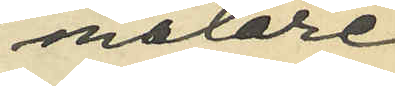målare¬
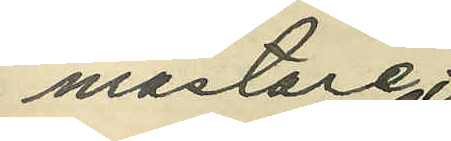mästare;
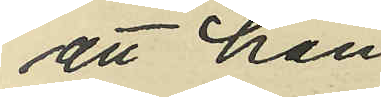att han
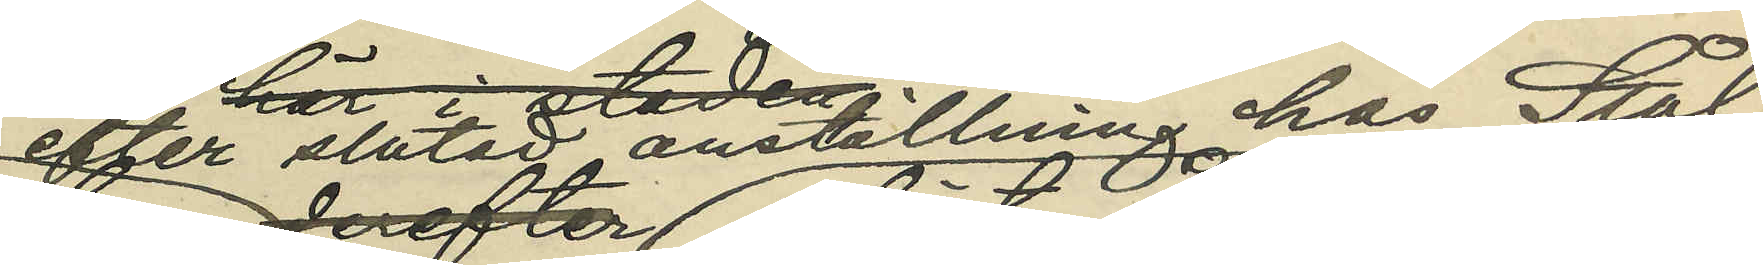efter slutad anställning hos Stål
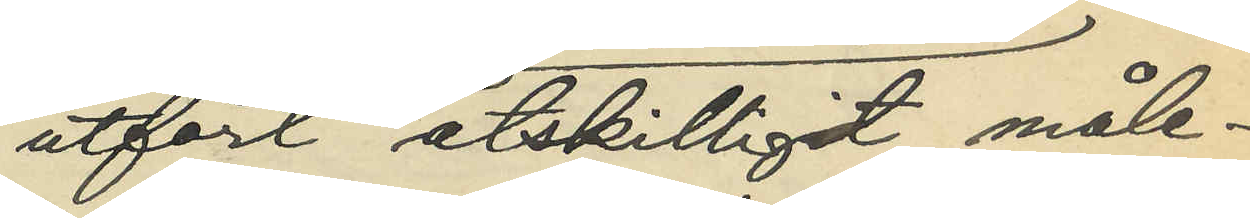utfört åtskilligt måle¬
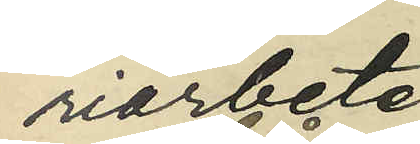riarbete
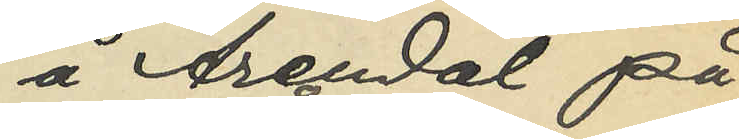å Arendal på
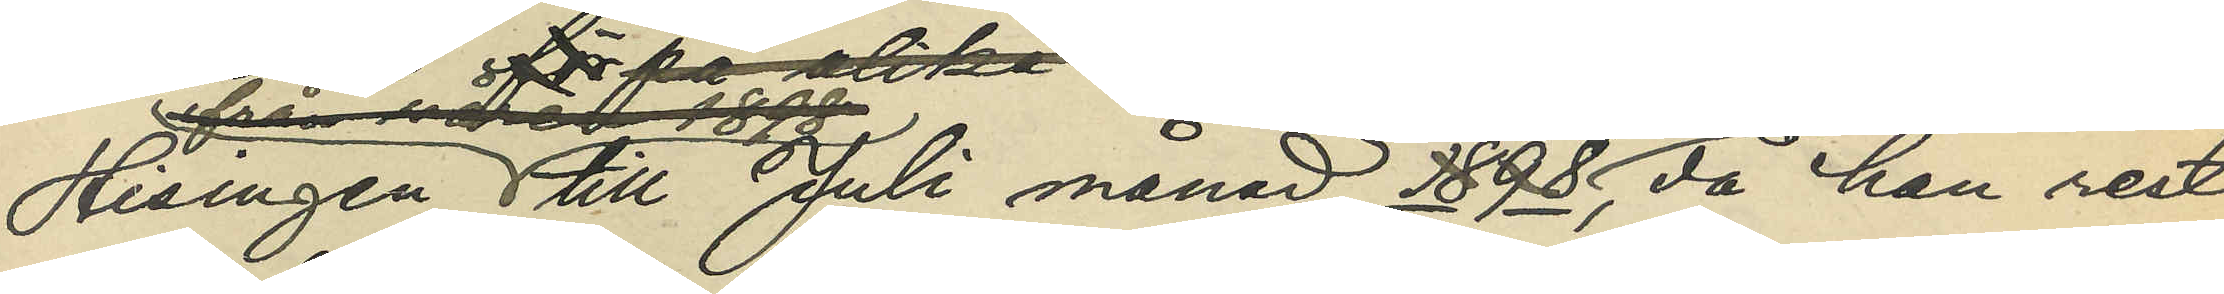Hisingen till Juli månad 1898, då han rest
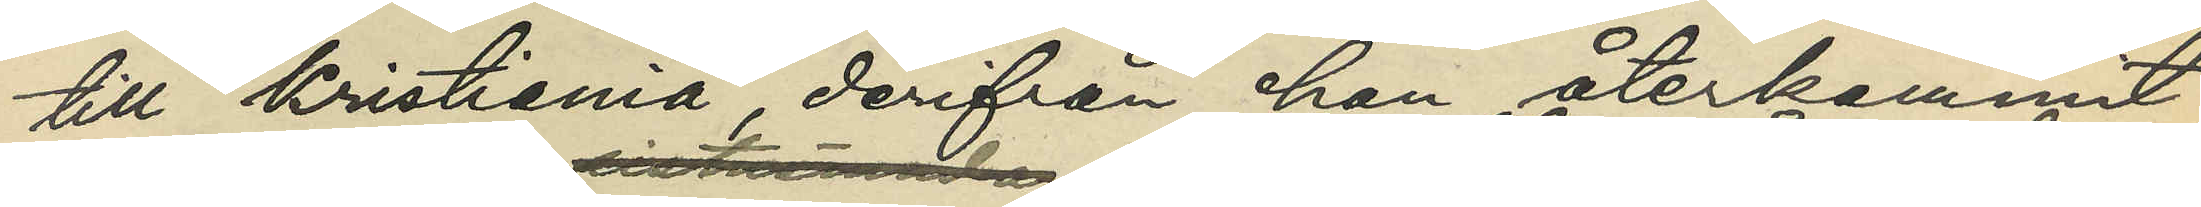till Kristiania, derifrån han återkommit
